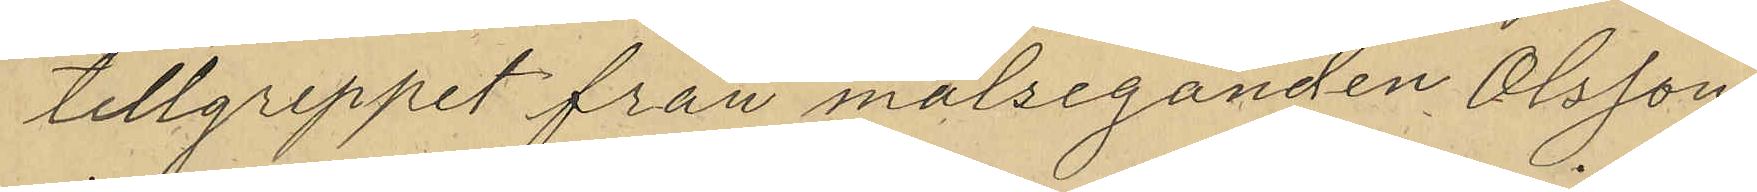tillgreppet från målseganden Olsson
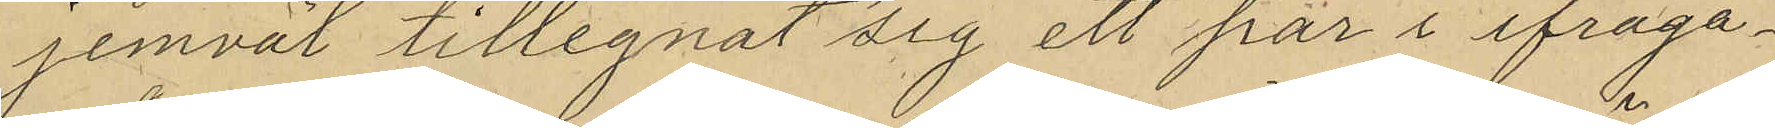jemväl tillegnat sig ett par i ifråga¬
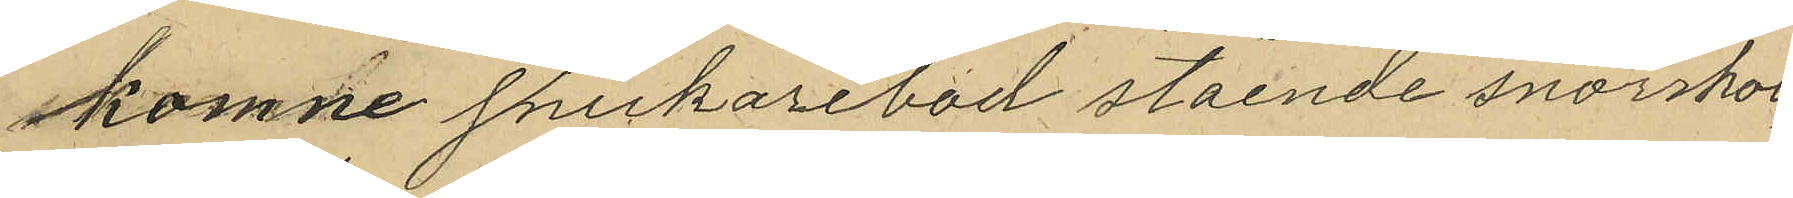komne snickarebod stående snörskor,
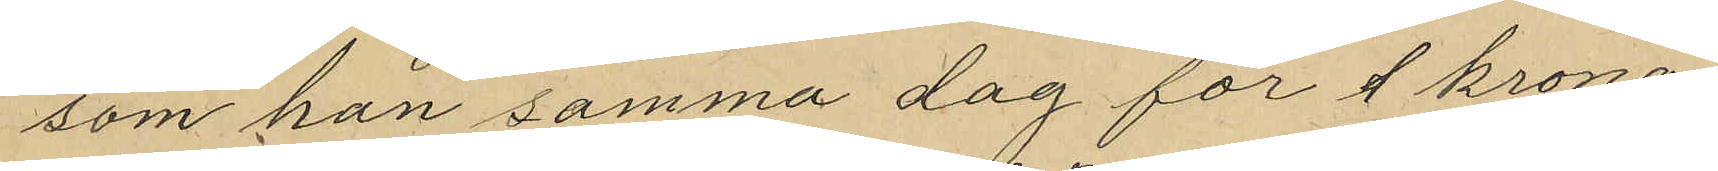som han samma dag för 1 krona
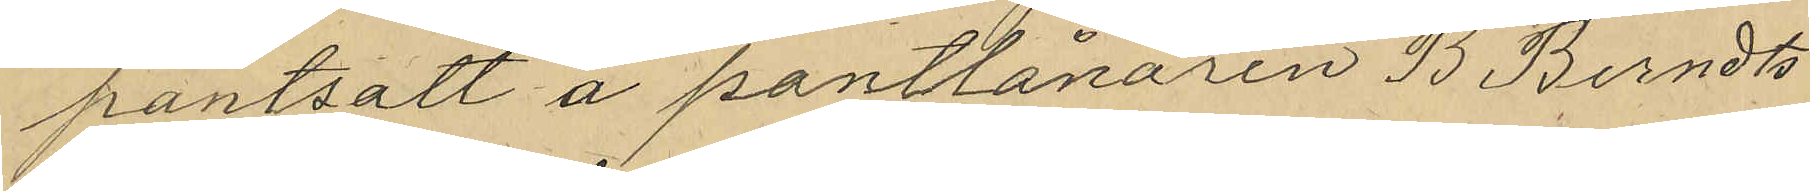pantsatt å pantlånaren B. Berndts¬
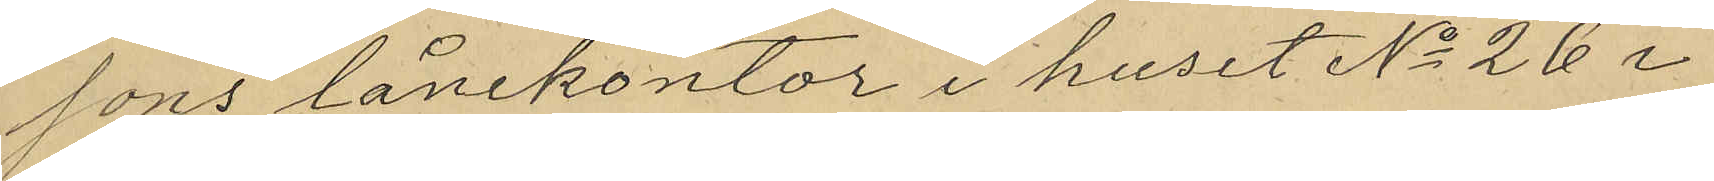sons lånekontor i huset No 26 i
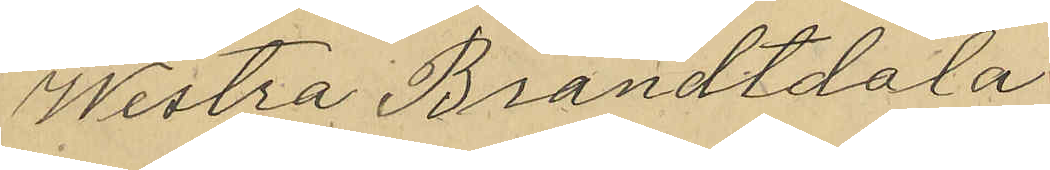Westra Brandtdala
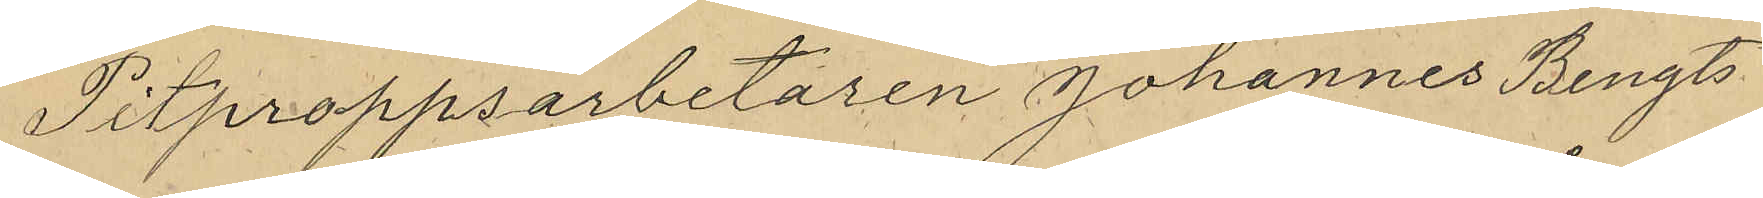Pitproppsarbetaren Johannes Bengts¬
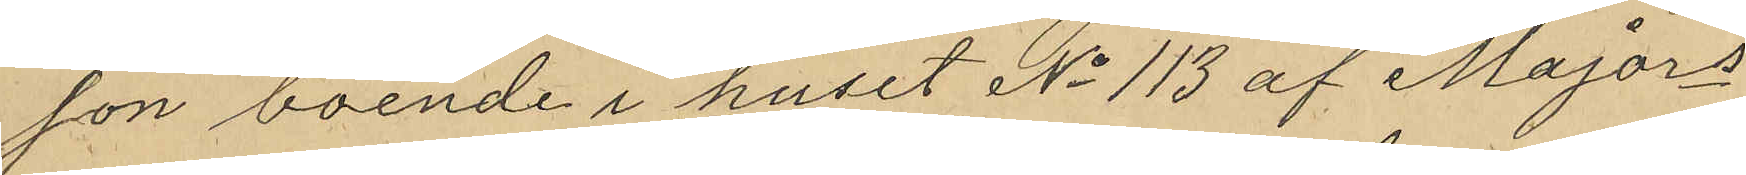son boende i huset No 113 af Majors
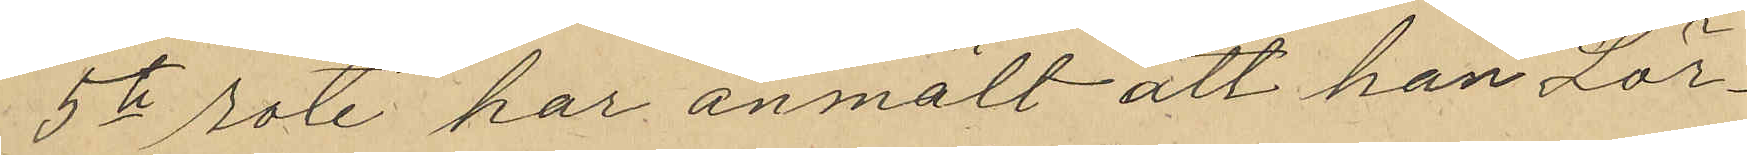5te rote har anmält att han Lör¬
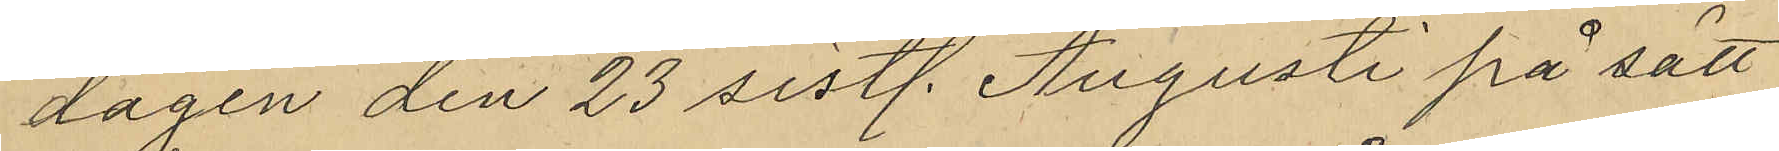dagen den 23 sistl. Augusti på sätt
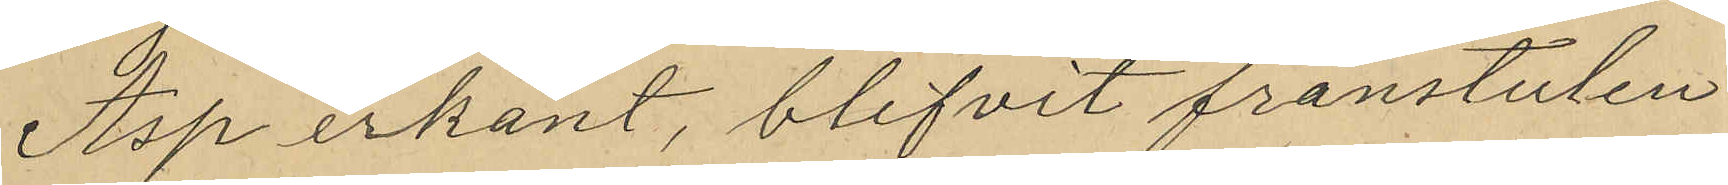Asp erkänt, blifvit frånstulen
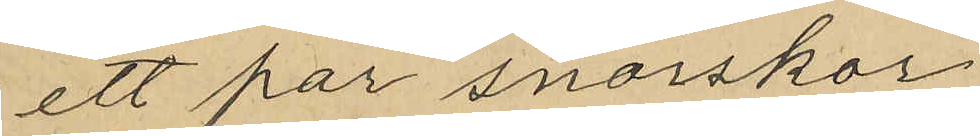ett par snörskor
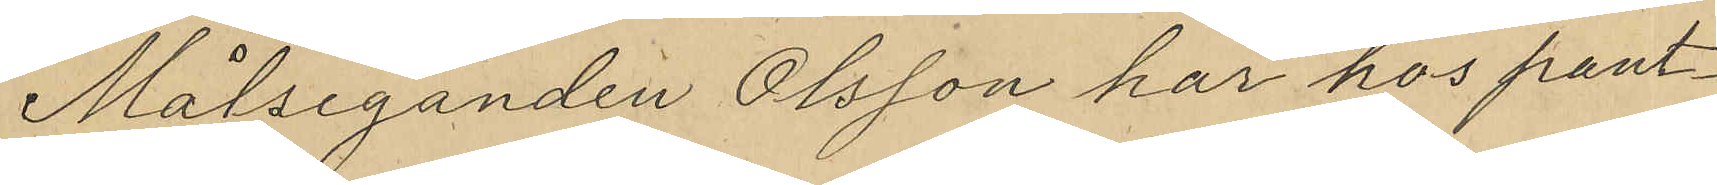Målseganden Olsson har hos pant¬
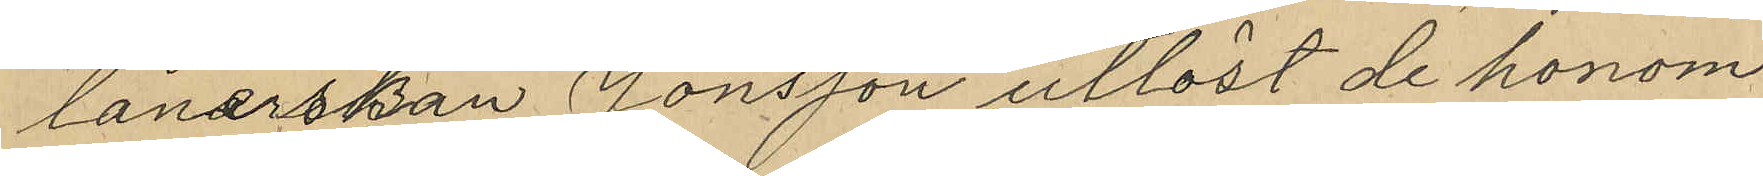lånerskan Jonsson utlöst de honom
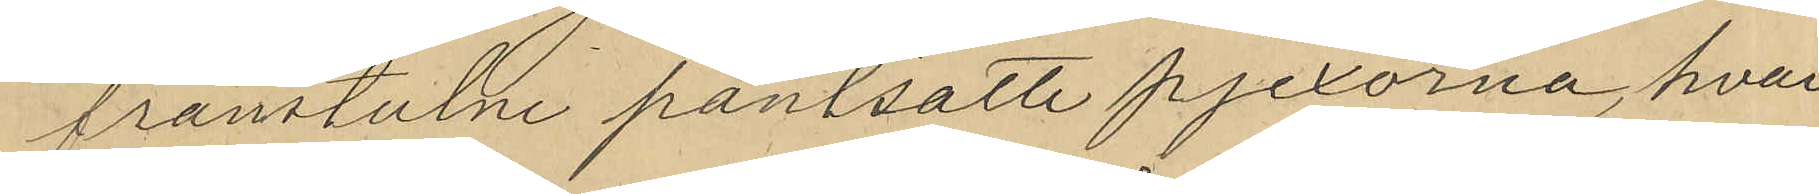frånstulne pantsatte pjexorna, hvar¬
